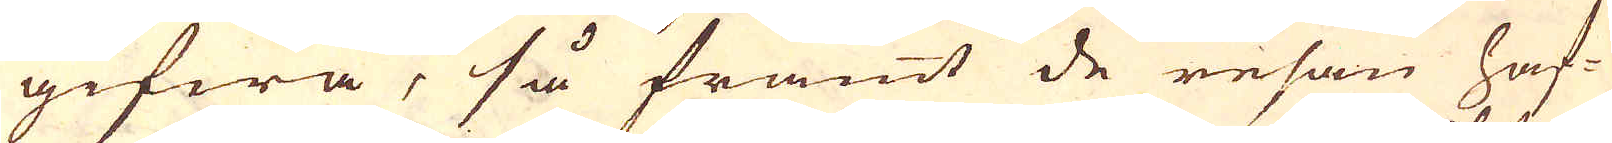gifwa, så framt de resan haf-
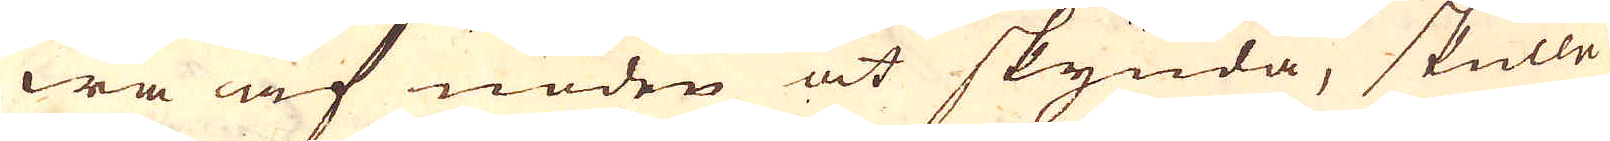wa af nöden at skynda, skulle
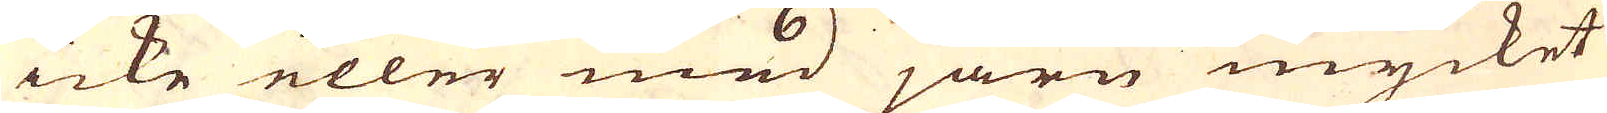icke eller med järn mycket
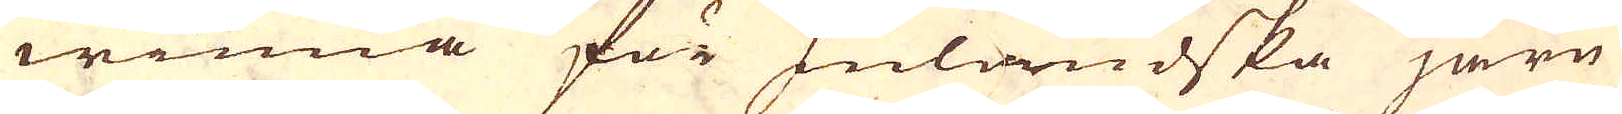winna för Inländska järn-
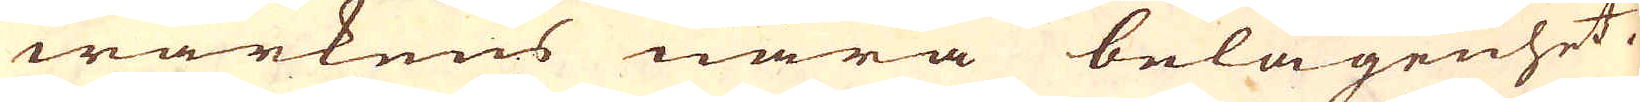wärkens nära belägenhet.
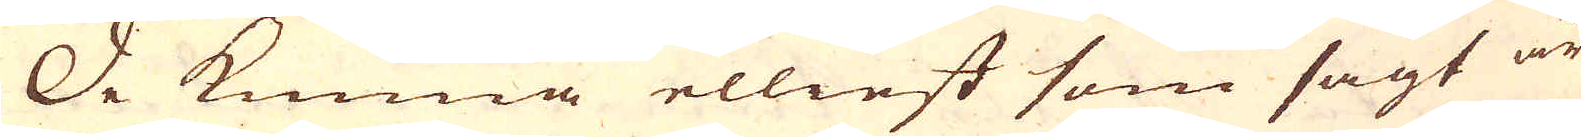De kunna elliest som sagt är
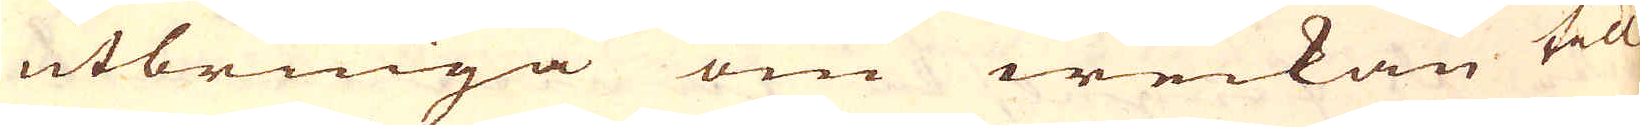utbringa om weckan till
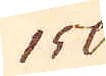150
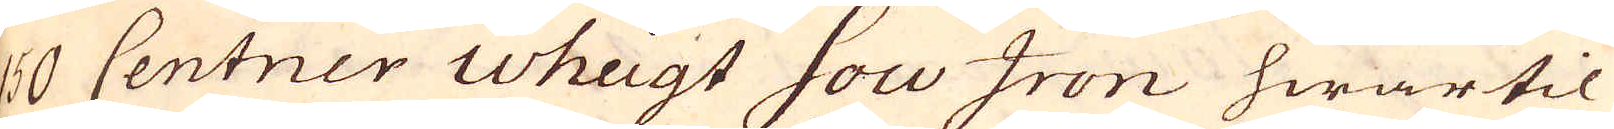150 Centner weigt Sow Iron hwartil
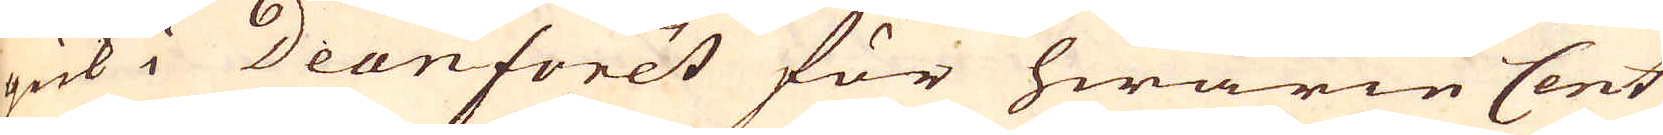gick i Deanforet för hwarie Cent
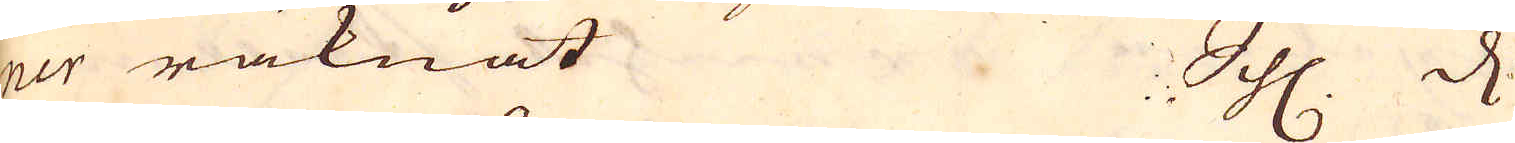ner räknat Schl. D.
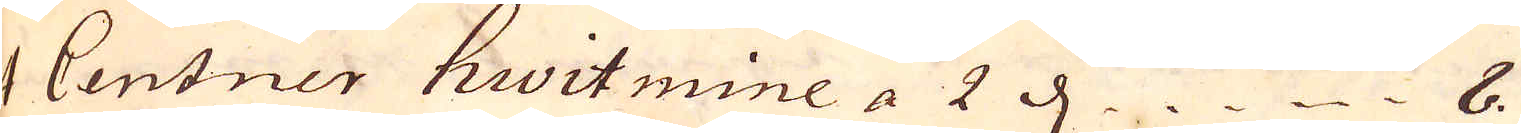1 Centner hwit mine a 2 d. 8.
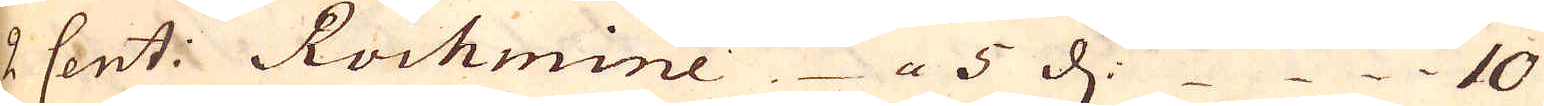2 Cent: Rochmine. a 5 d. 10
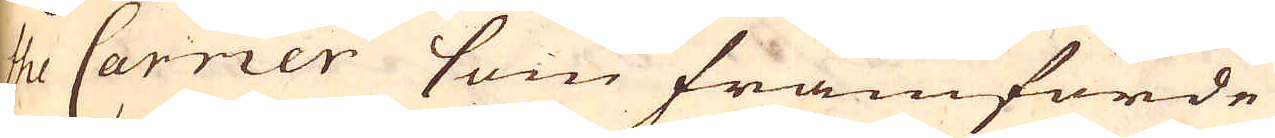the Carrier som framförde
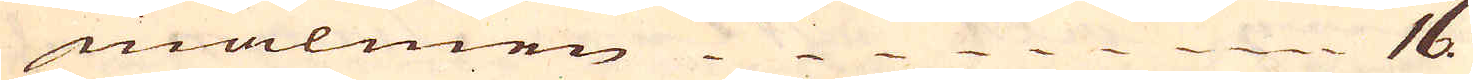malmen 16.
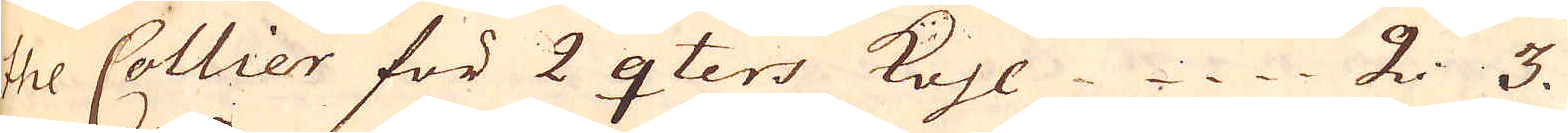the Collier för 2 qters kohl 2: 3.
